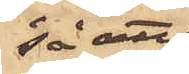så att
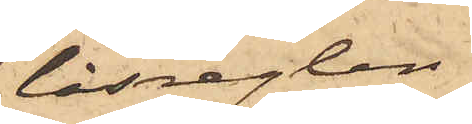låsreglen 
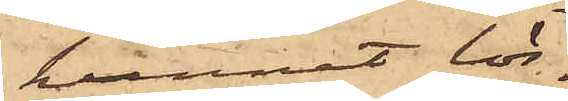kunnat lös¬
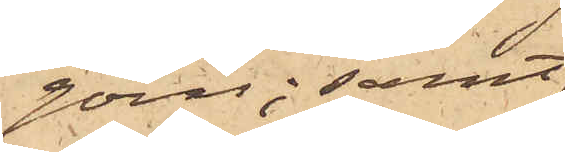göras; samt
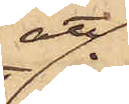att
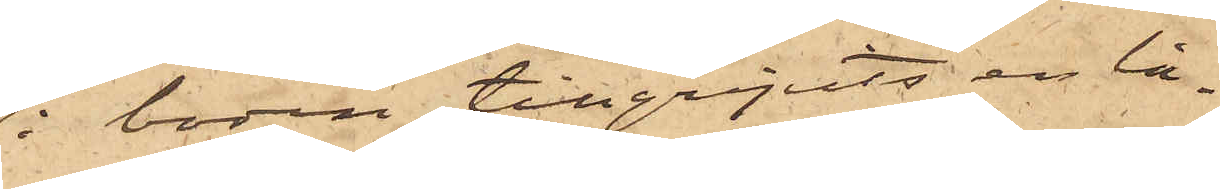i boden tillgripits en lå¬
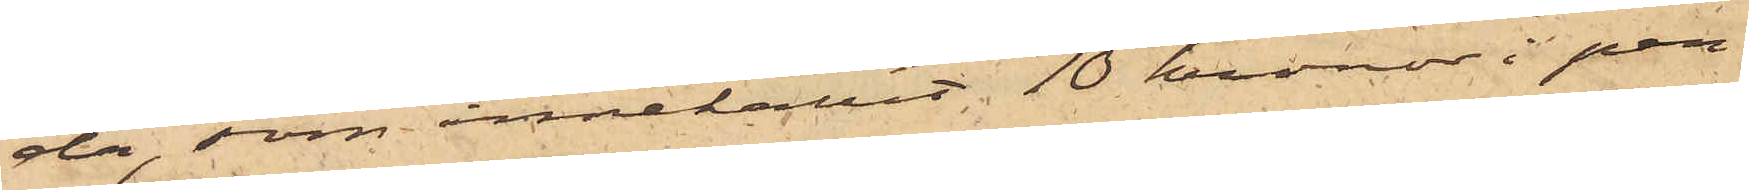da, som innehållit 10 kronor i pen¬
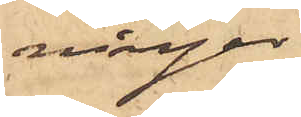ningar
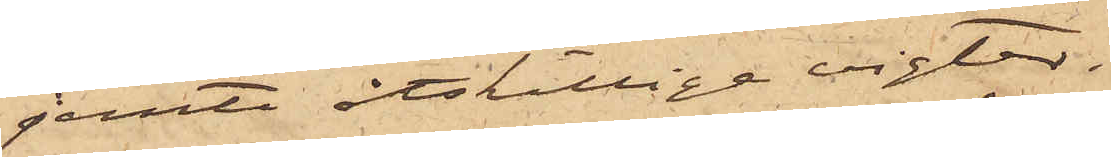jemte åtskilliga vigter.
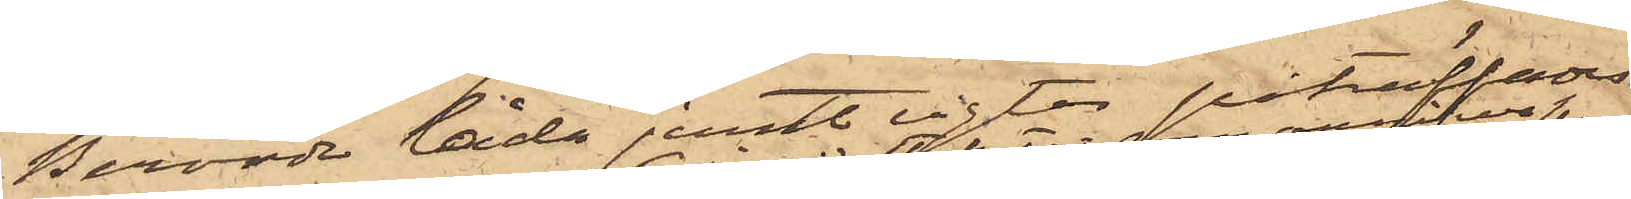Berörde låda jemte vigter påträffades
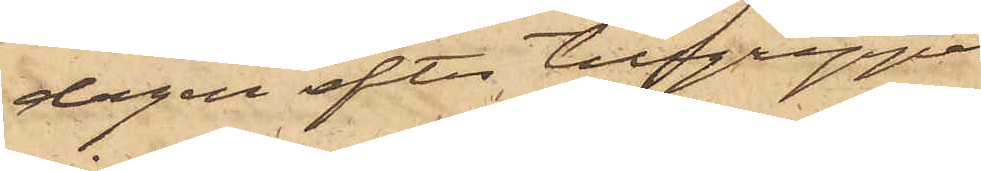dagen efter tillgreppet
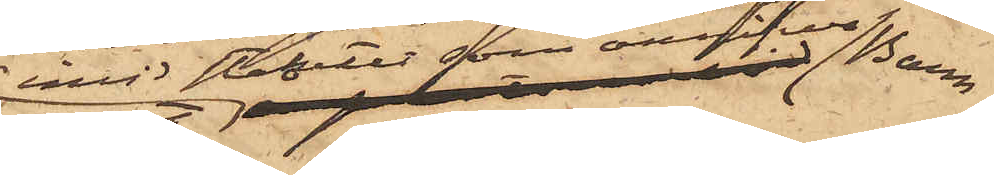invid staketet som omgifver Barn¬
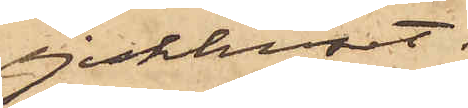sjukhuset;
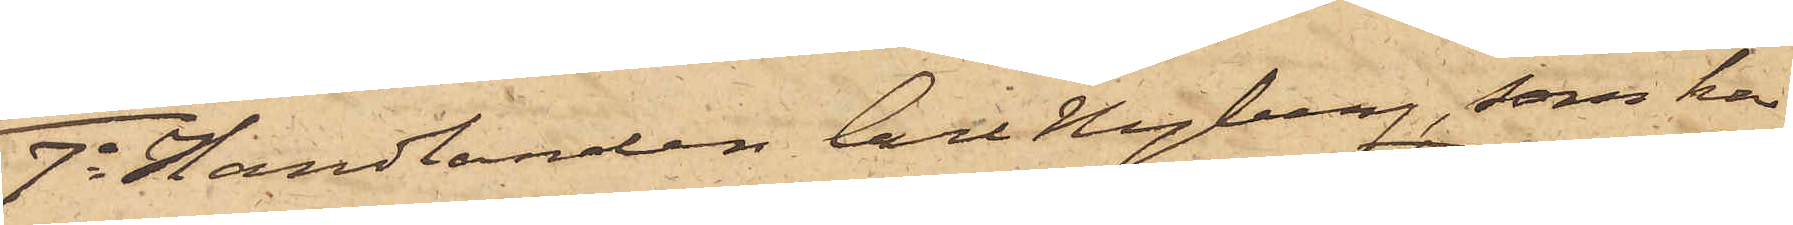7o Handlanden Carl Hagberg, som har
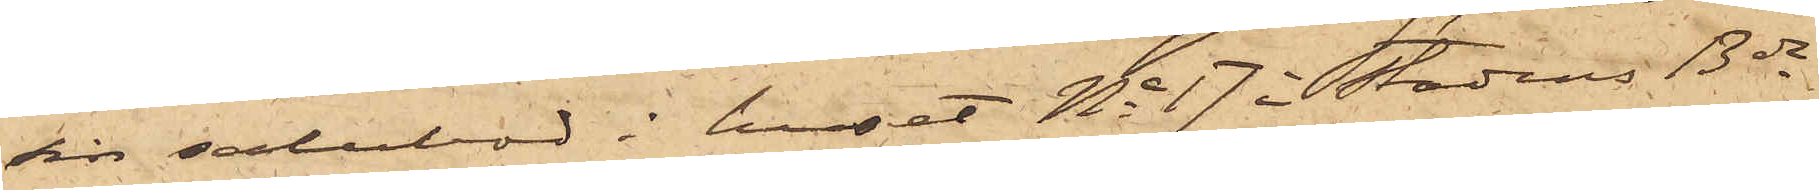sin salubod i huset No 17 i Stadens 13de
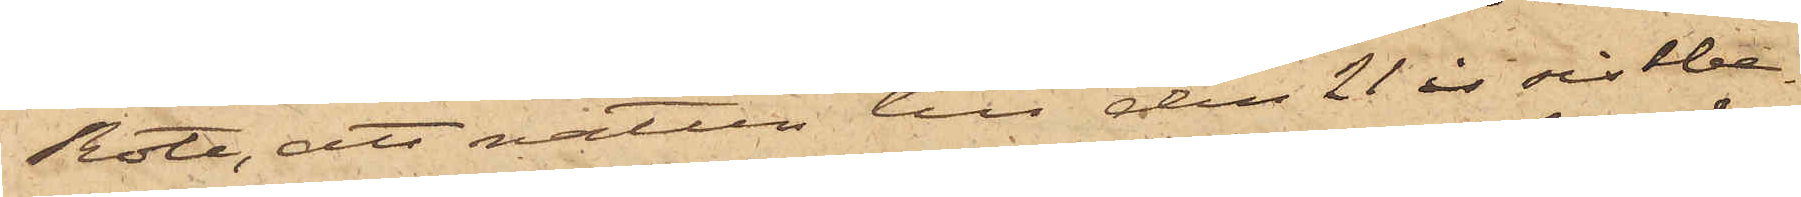Rote, att natten till den 21 ds sistbe¬
